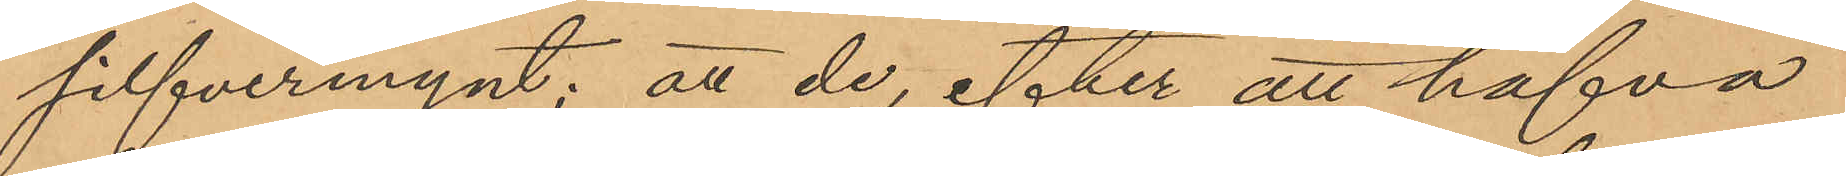silfvermynt; att de, efter att hafva
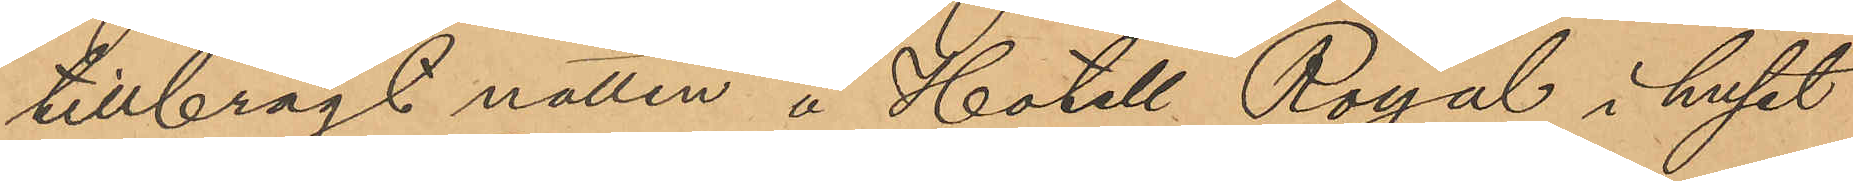tillbragt natten å Hotell Royal i huset
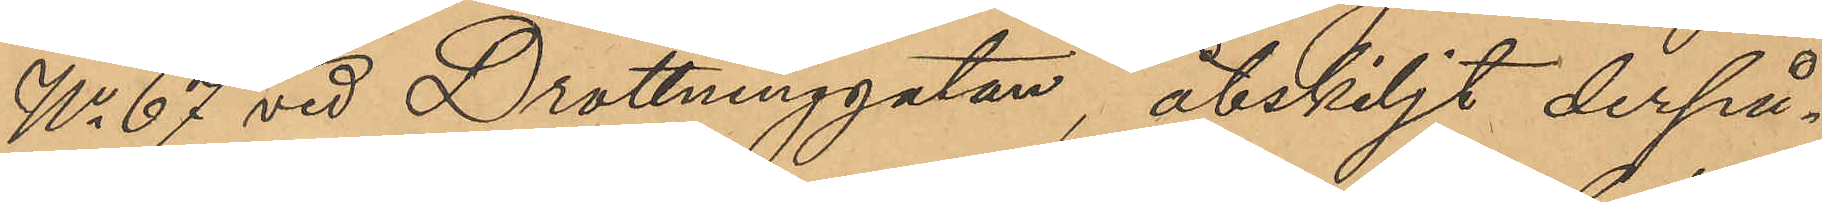No 67 vid Drottninggatan, åtskiljt derpå¬
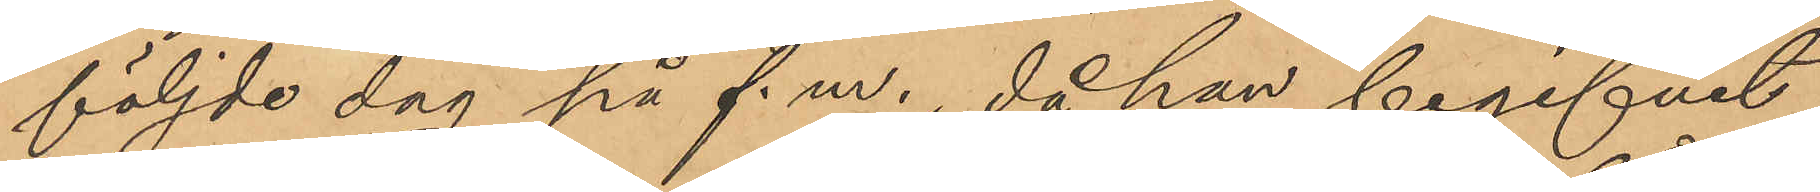följde dag på f.m., då han begifvit
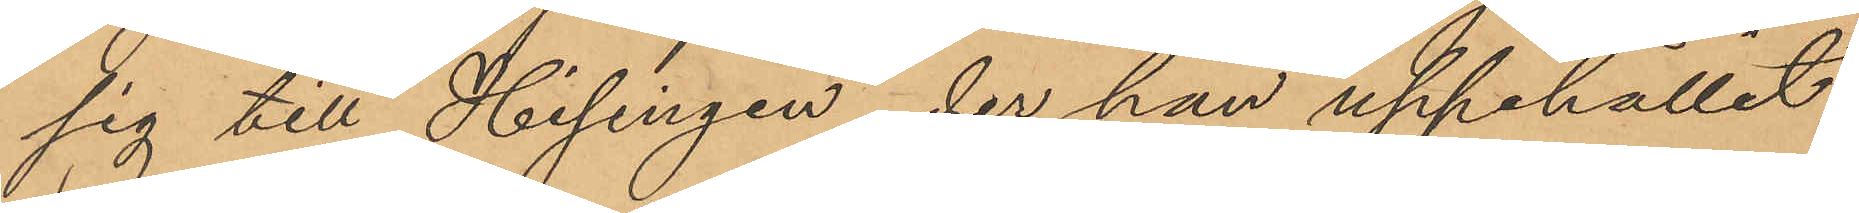sig till Hisingen, der han uppehållit
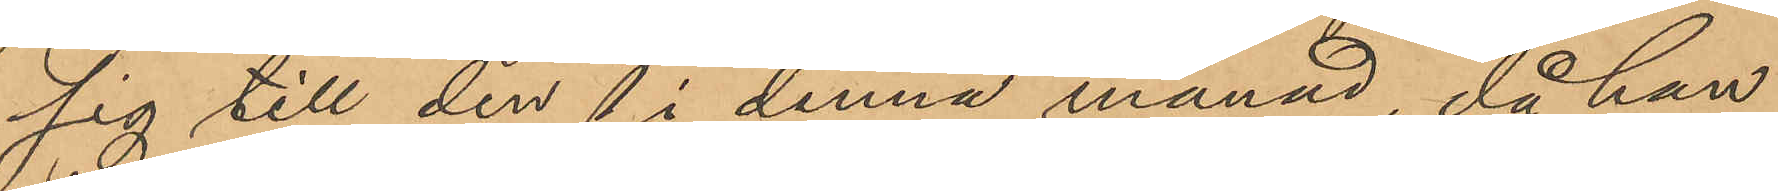sig till den 1 i denna månad, då han
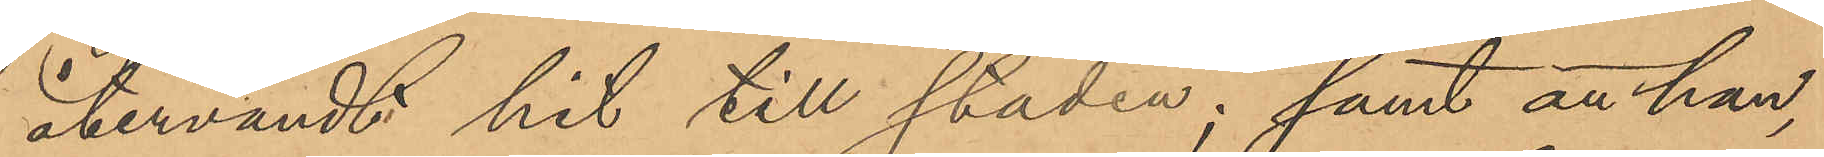återvändt hit till staden; samt att han,
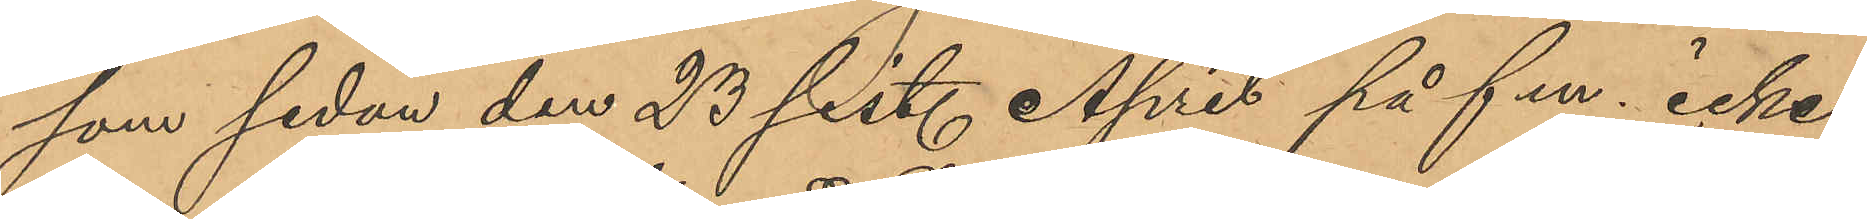som sedan den 23 sist. April på f.m. icke
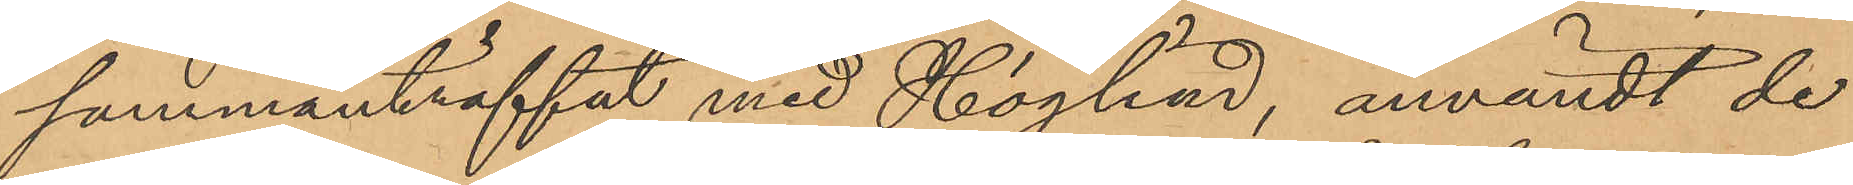sammanträffat med Höglind, användt de
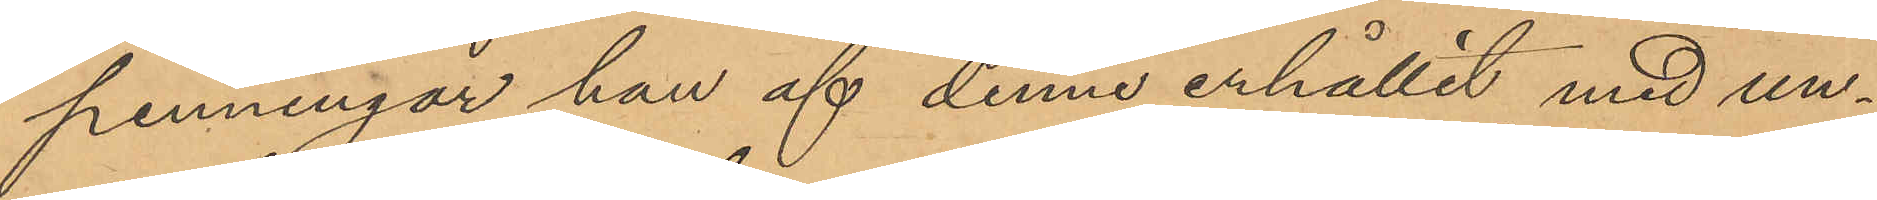penningar han af denne erhållit med un¬
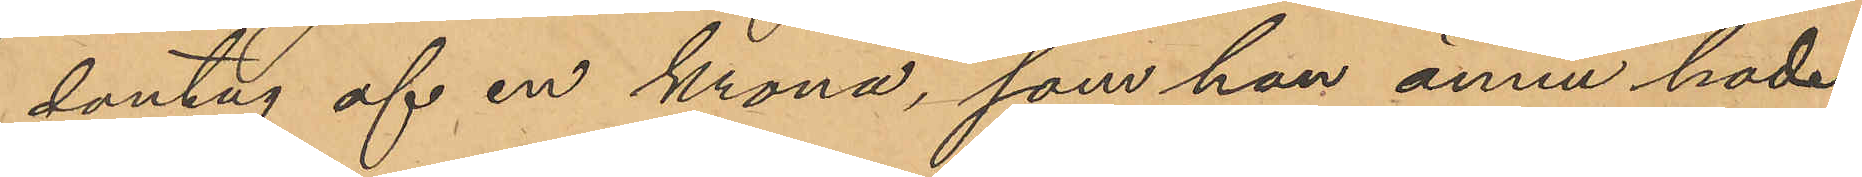dantag af en krona, som han ännu hade
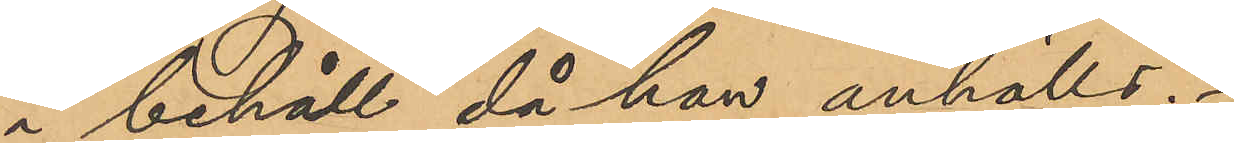i behåll, då han anhölls.
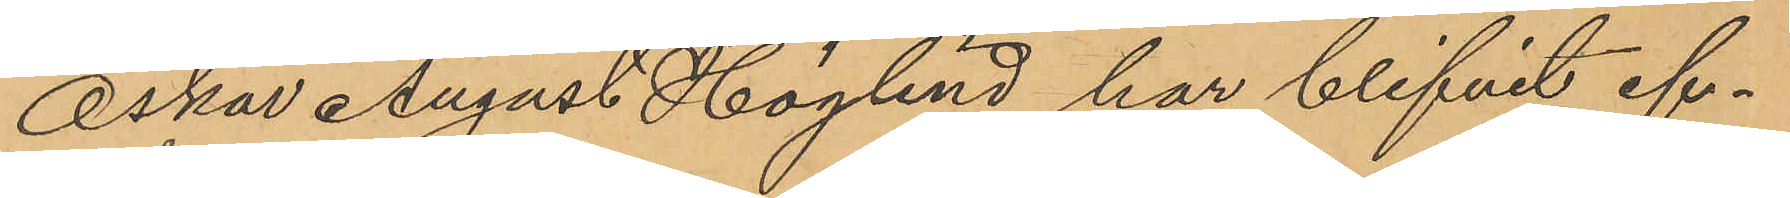Oskar August Höglind har blifvit ef¬
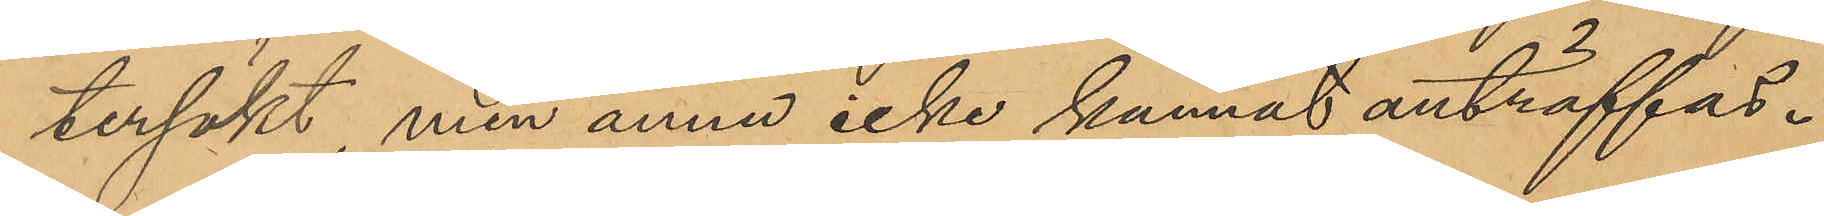tersökt, men ännu icke kunnat anträffas.
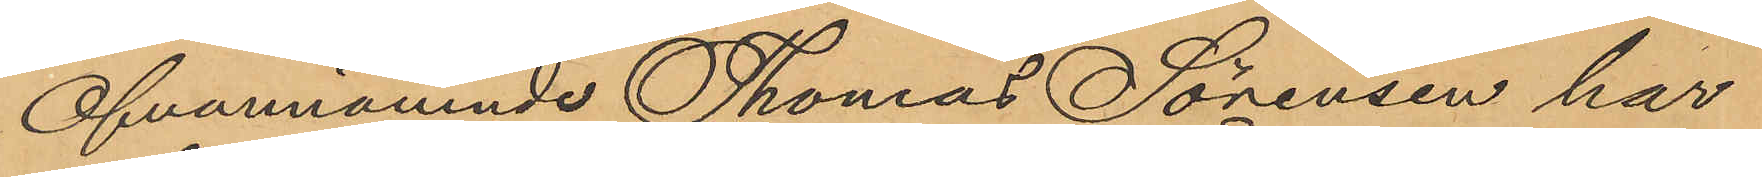Ofvannämnde Thomas Sörensen har
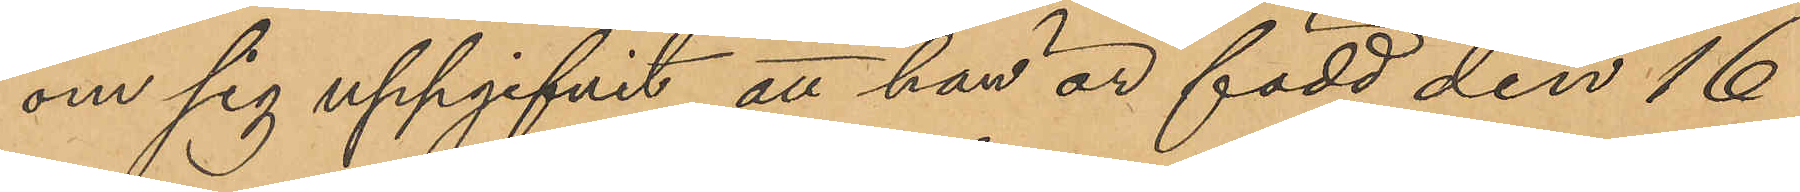om sig uppgifvit att han är född den 16
